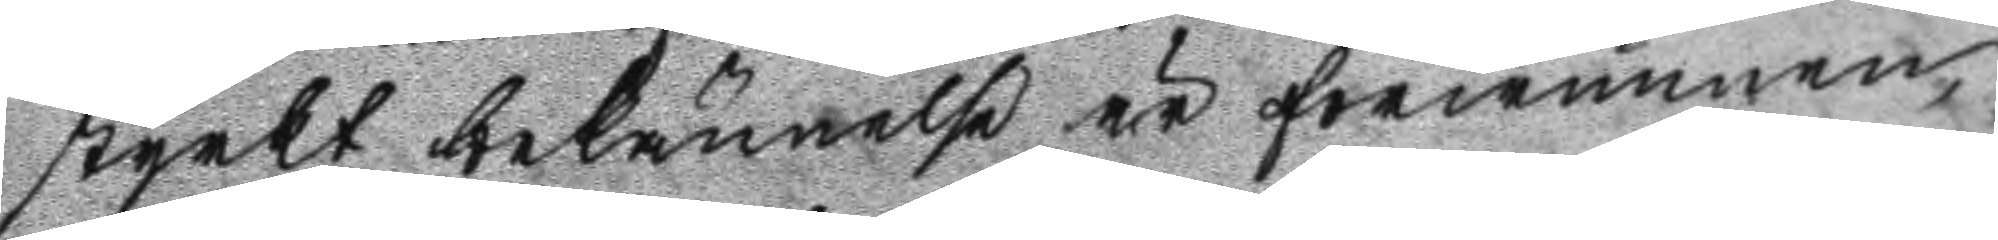styrkt bekännelse är förwunnen,
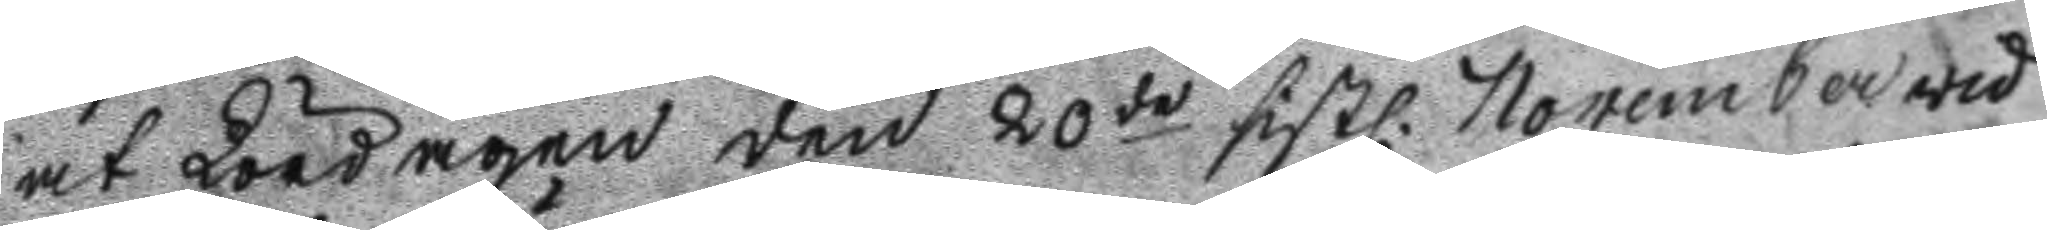at Lördagen den 20de sistl. November wid
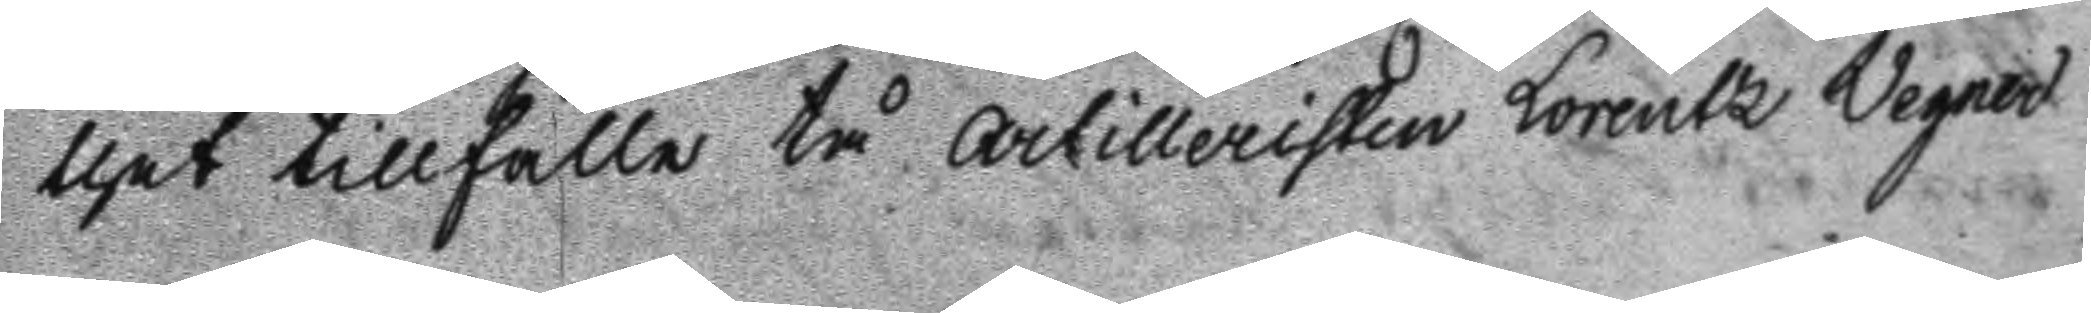thet tillfälle tå artilleristen Lorentz Wegner
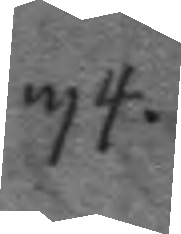34.
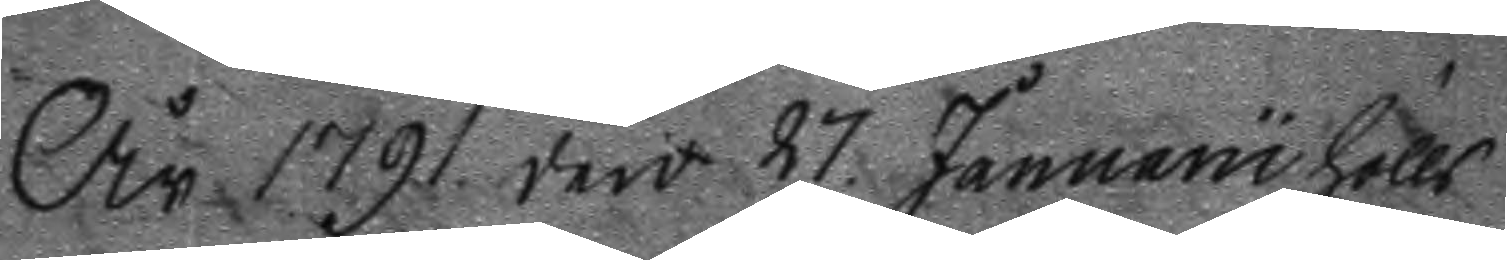År 1791 den 27. Januaru hölls
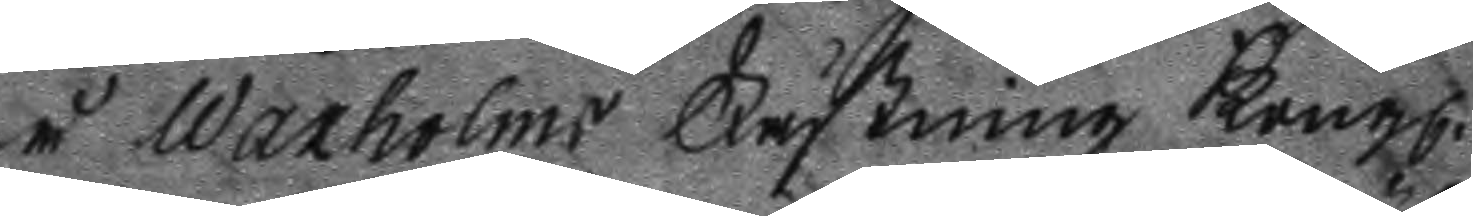å Waxholms Fästning Kongl.
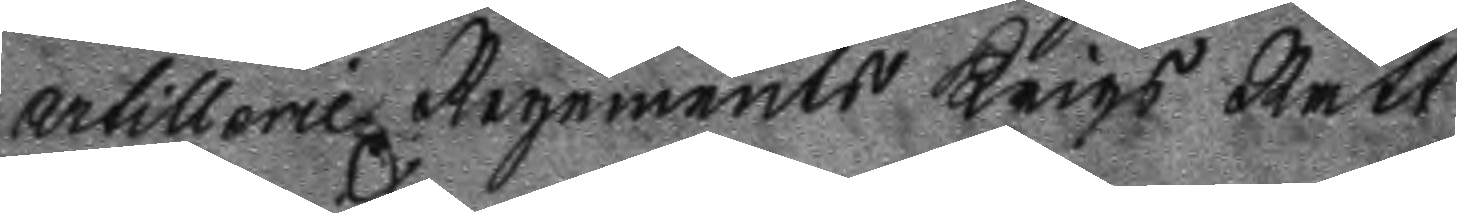artillerie Regements Krigs Rätt
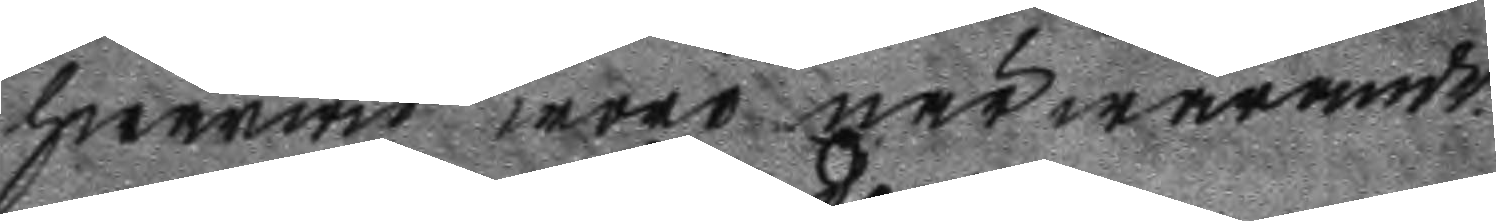hwarwid woro närwarande.
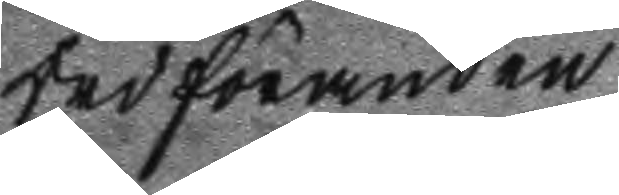Ordföranden
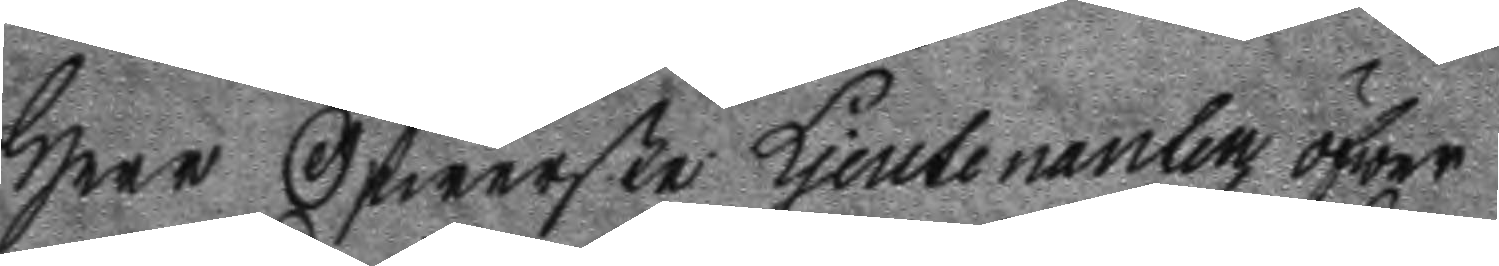Herr Öfwerste Ljeutenanten öfwer
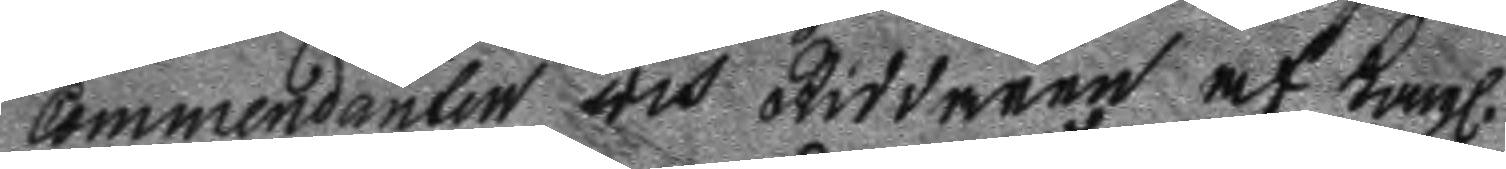Commendanten och Riddaren af Kongl.
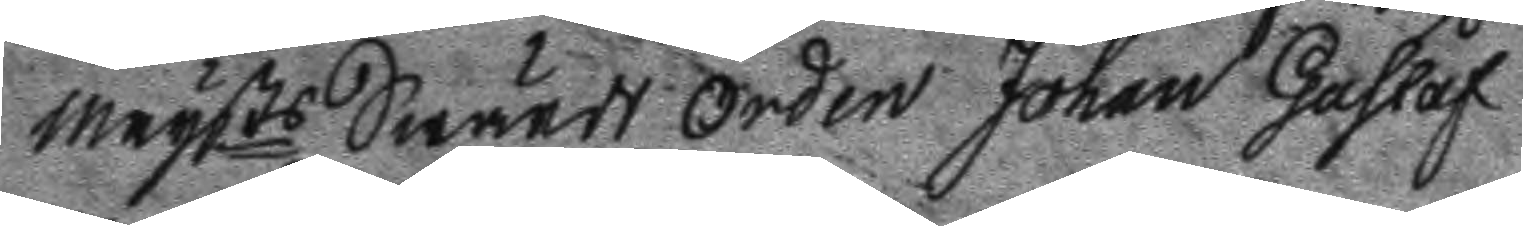Maysts Swärds Orden Johan Gustaf
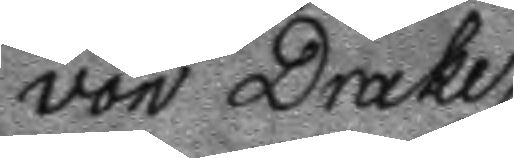von Drake.
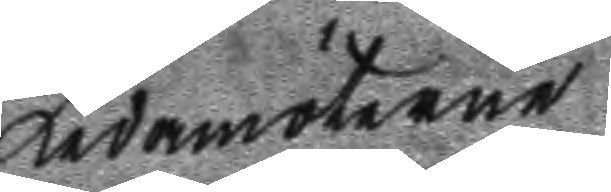Ledamöterne
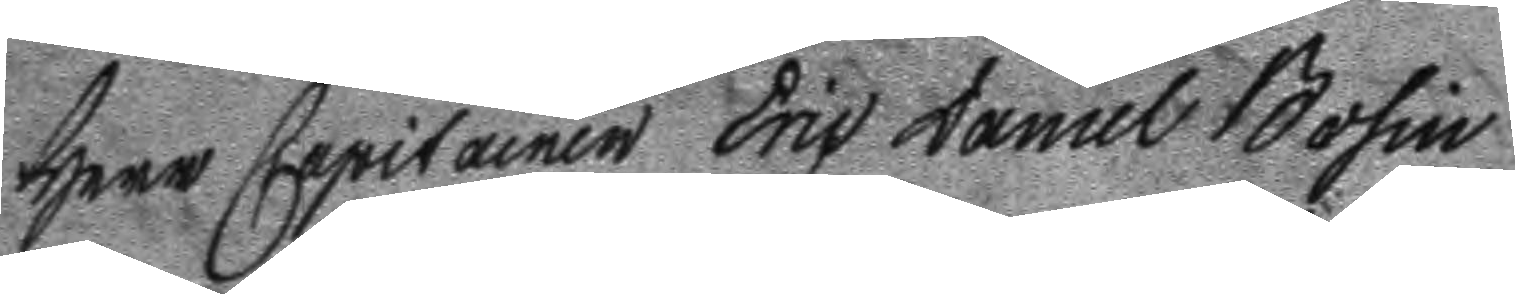Herr Capitainen Eric Daniel Bosin
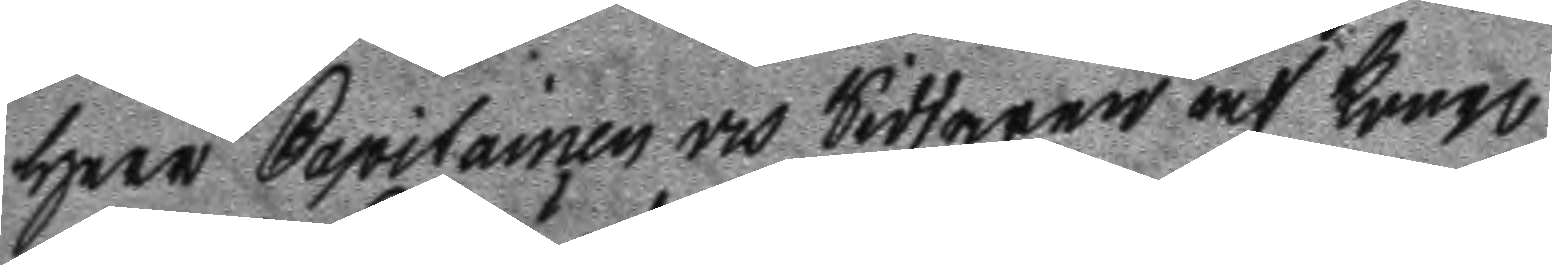Herr Capitainen och Riddaren af Kongl.
